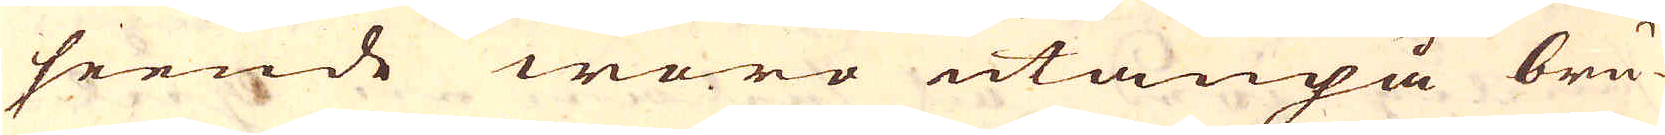seende woro utanpå bru-
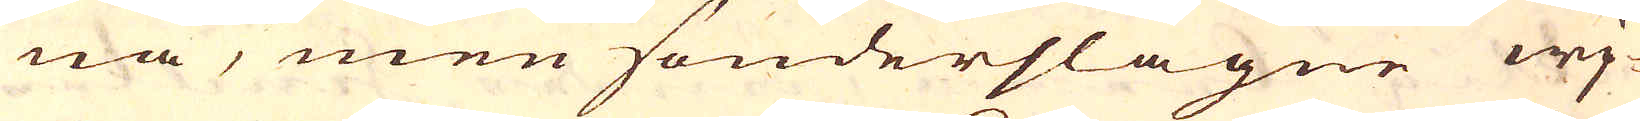na, men sönderslagne wj-
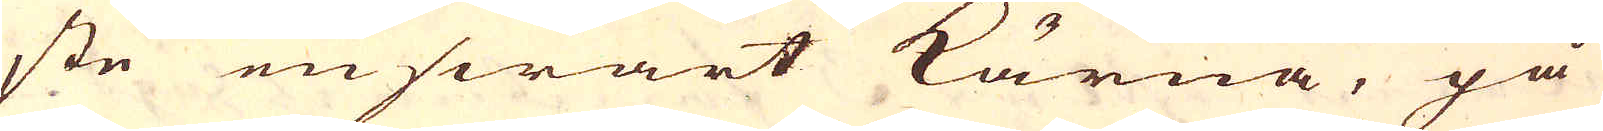ste en swart kärna, på
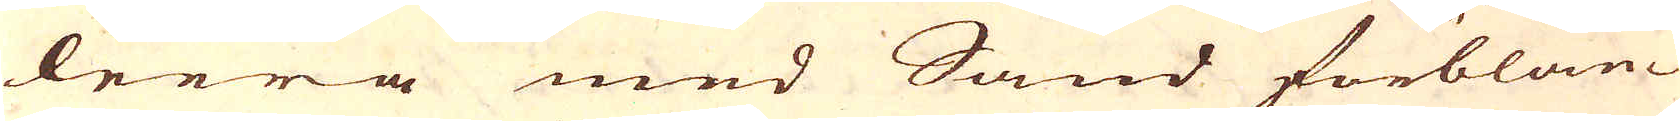leera med Sand förblan-
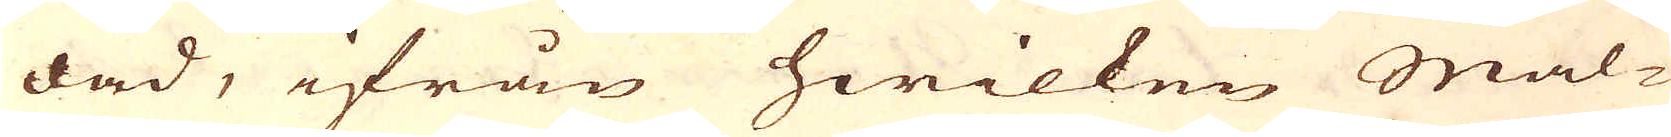dad, ifrån hwilken Mal-
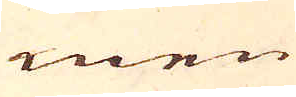men
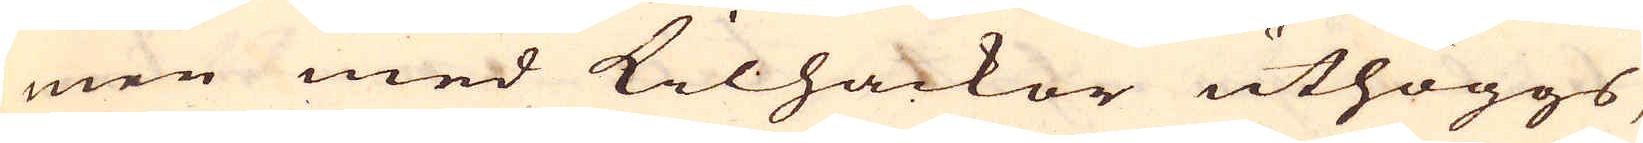men med Kilhackor uthöggs,
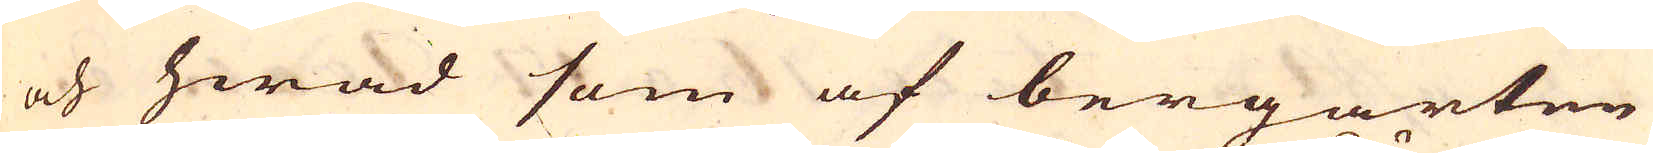och hwad som af bergarten
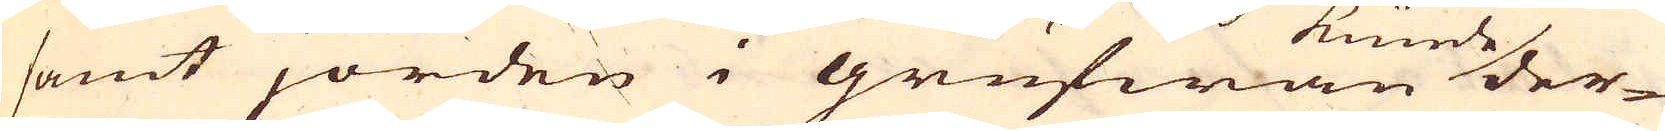samt jorden i grufwan kunde der-
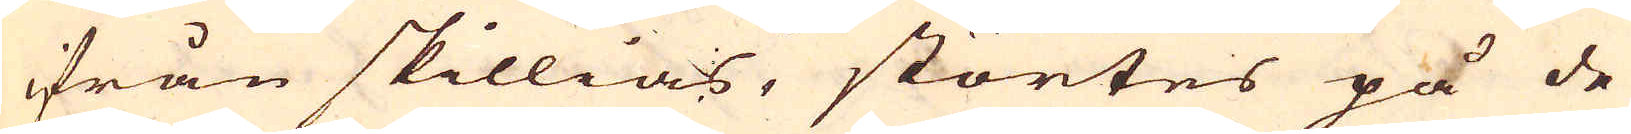ifrån skillias, störtes på de
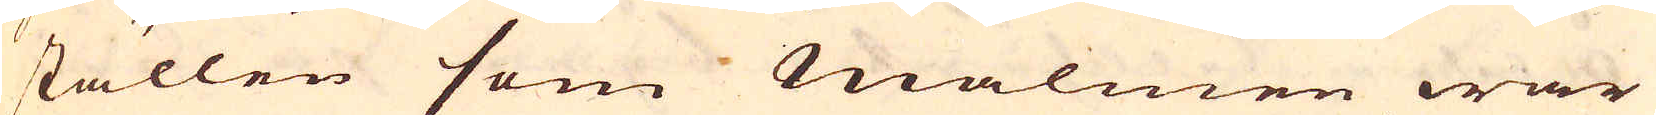ställen som malmen war
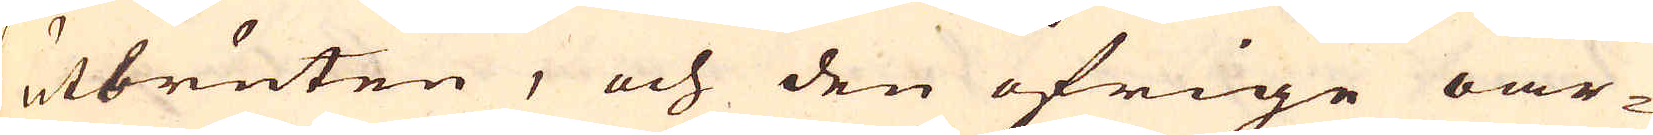utbruten, och den öfrige oar-
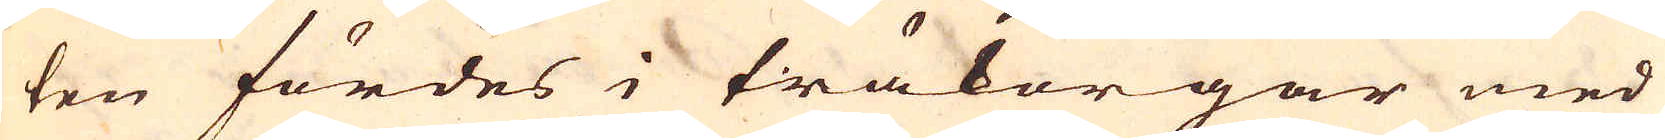ten fördes i träkorgar med
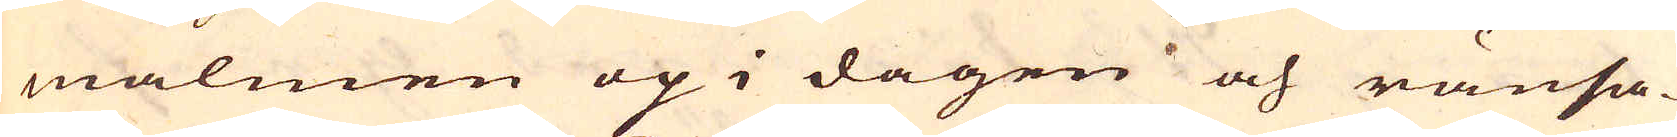malmen op i dagen och ränsa-
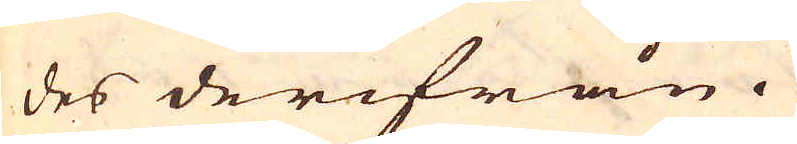des derifrån.
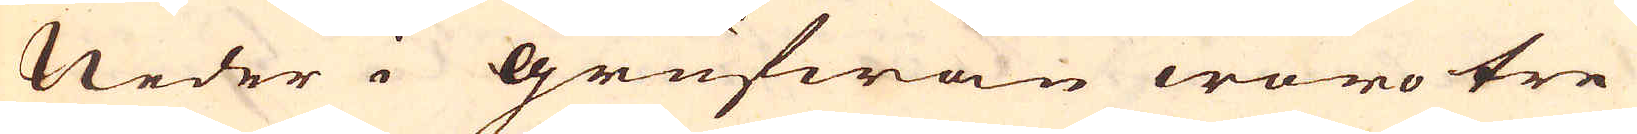Neder i Grufwan woro tre
